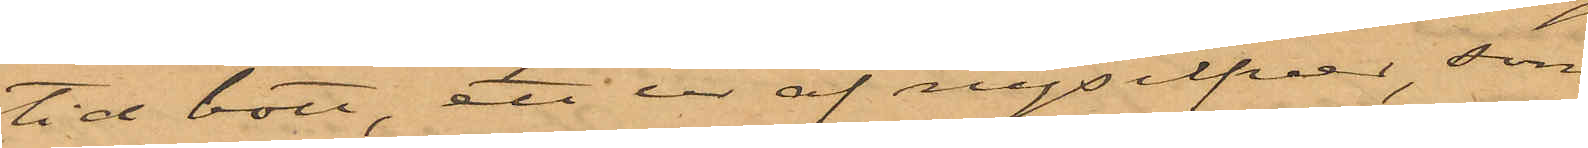tid bott, ett ur af nysilfver, som
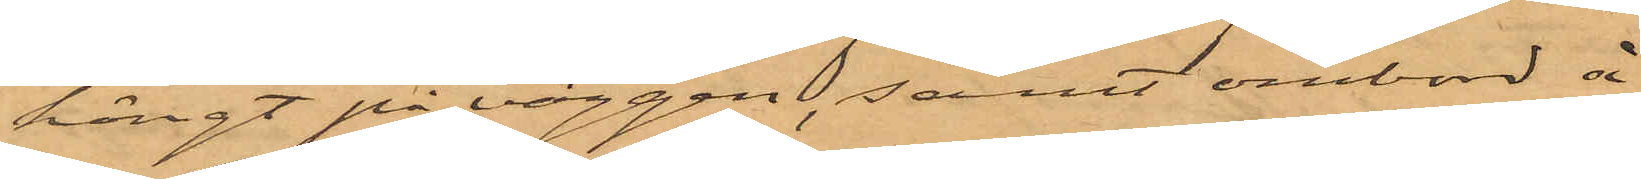hängt på väggen, samt ombord å
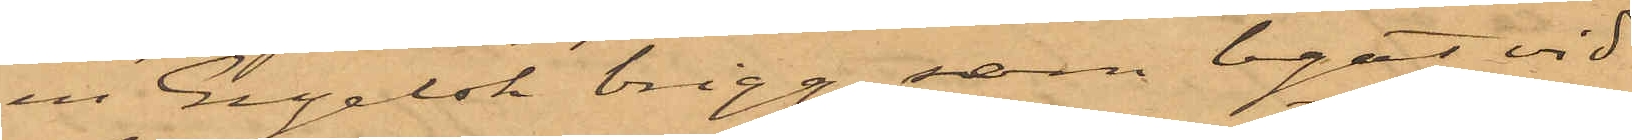en Engelsk brigg, som legat vid
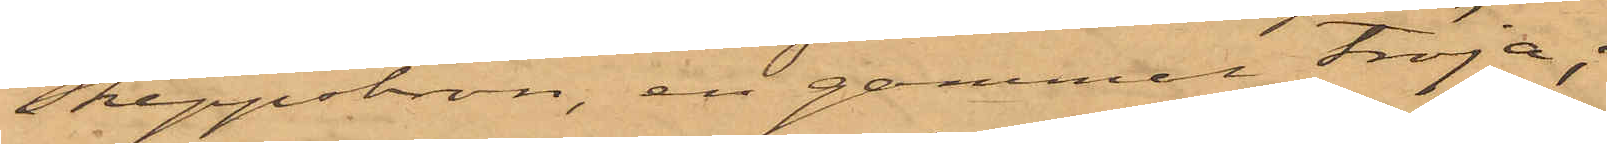Skeppsbron, en gammal tröja;
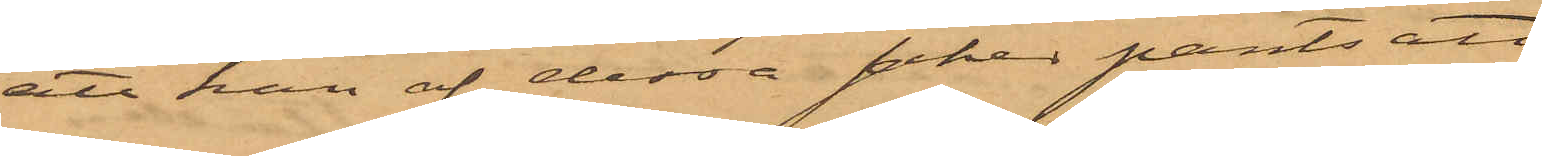att han af dessa saker pantsatt
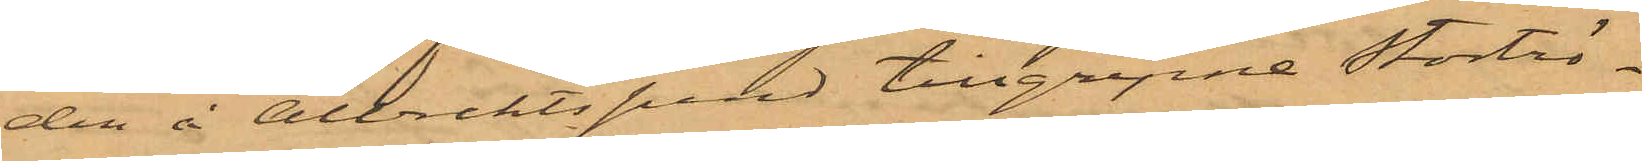den å Albrektsund tillgripne Stortrö¬
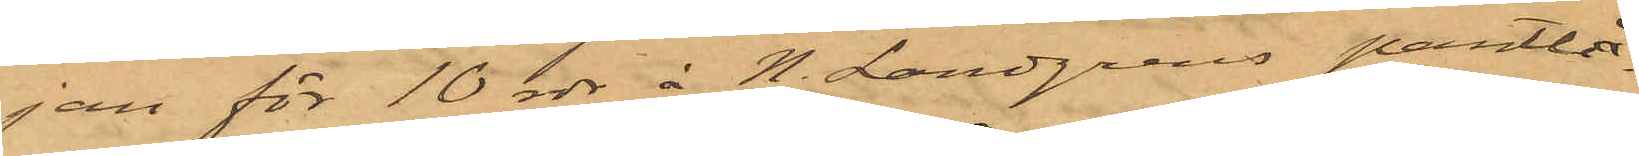jan för 10 rdr å N. Landgrens pantlå¬
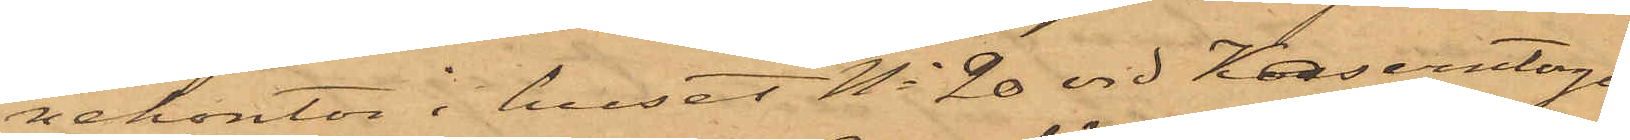nekontor i huset No 20 vid Kaserntorget
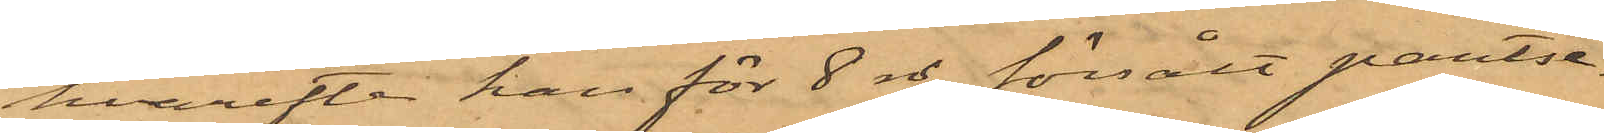hvarefter han för 8 rd försålt pantse¬
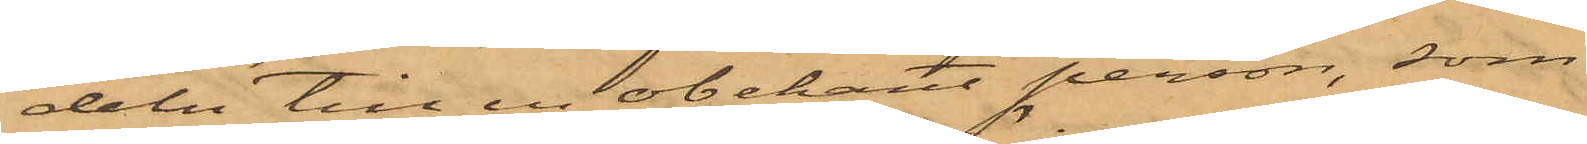deln till en obekant person, som
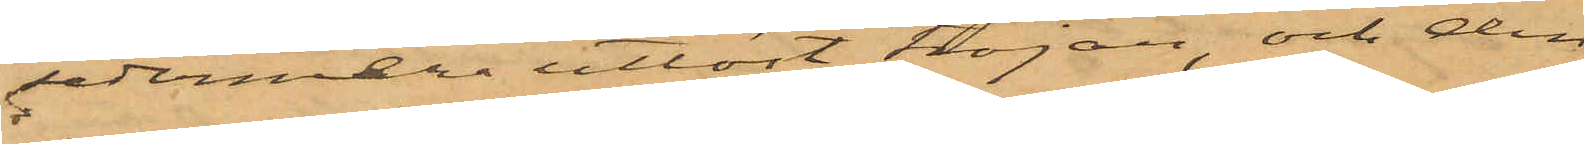sedermera utlöst tröjan, och den
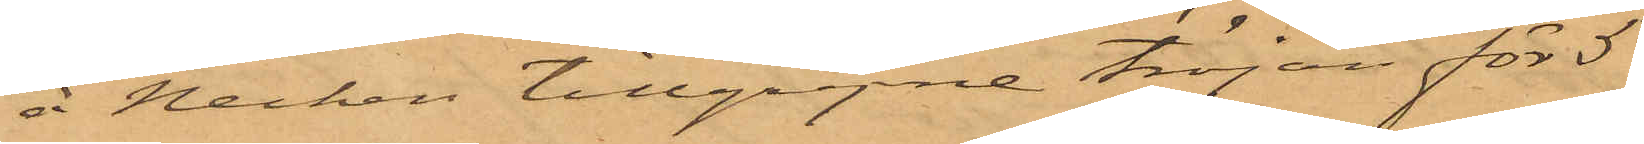å Necken tillgripne tröjan för 5
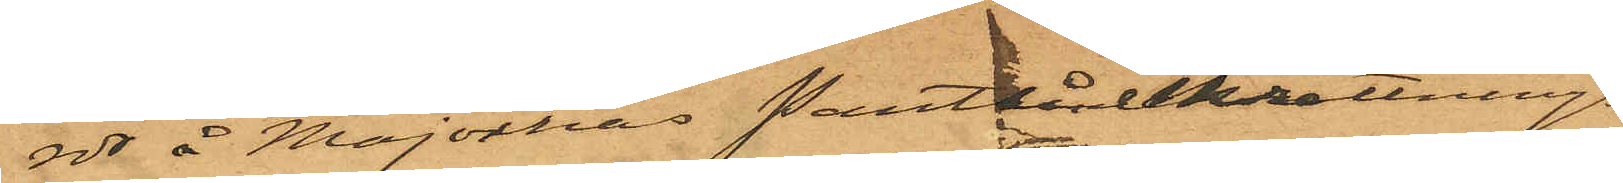rdr å Majornas Pantlåneinrättnings¬
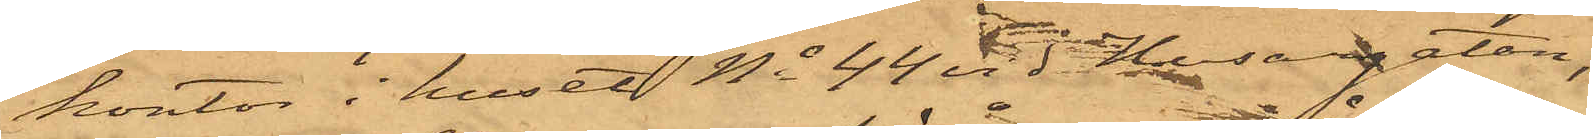kontor i huset No 44 vid Husargatan;
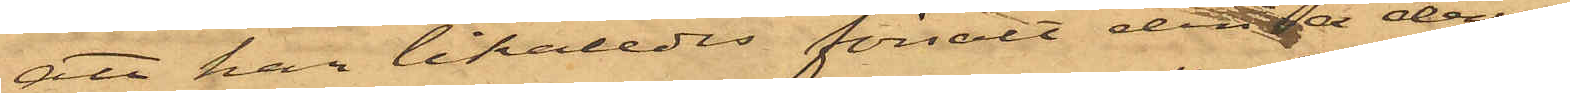att han likaledes försålt den å denna
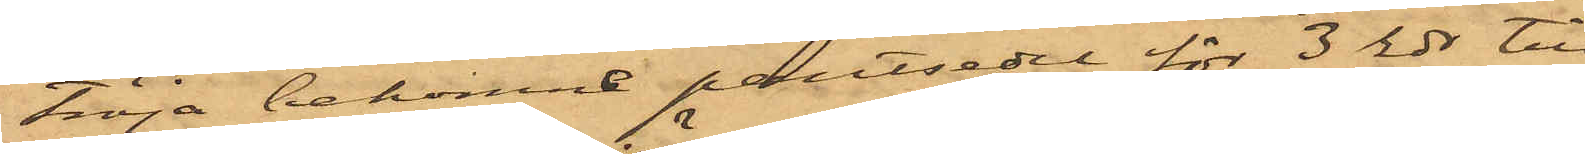tröja bekomne pantsedel för 3 rdr till
